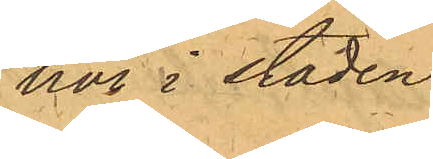här i staden
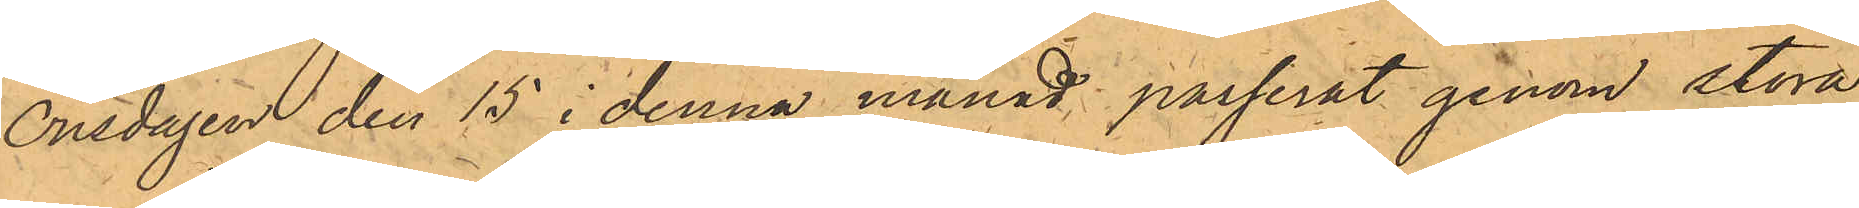Onsdagen den 15 i denna månad passerat genom stora
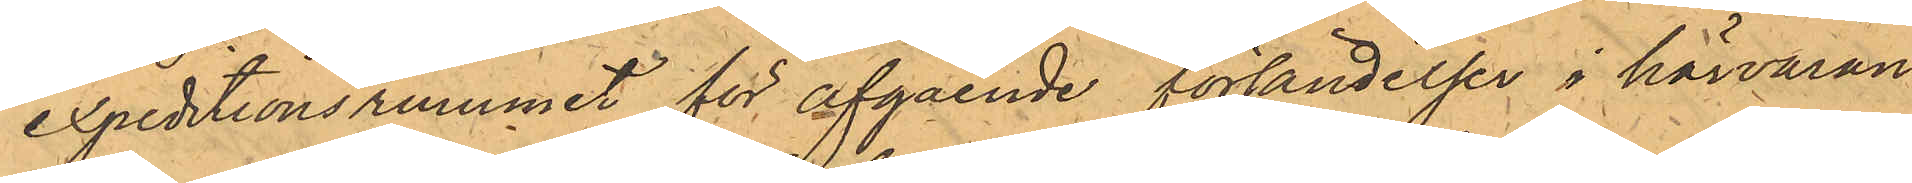expeditionsrummet för afgående försändelser i härvaran¬
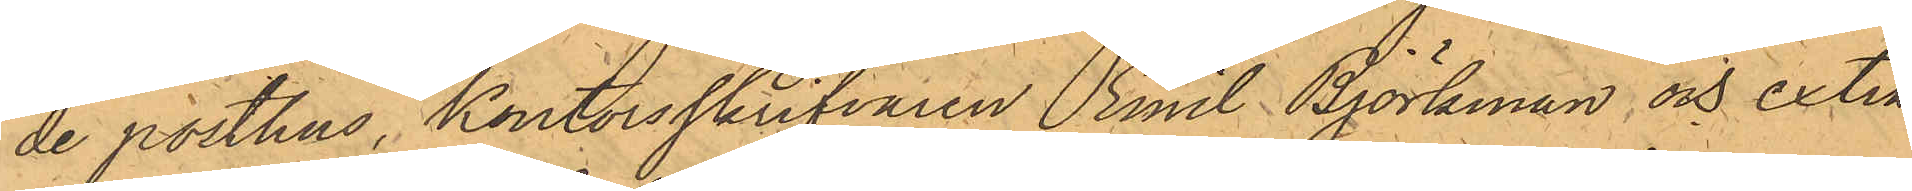de posthus, Kontorsskrifvaren Emil Björkman och extra
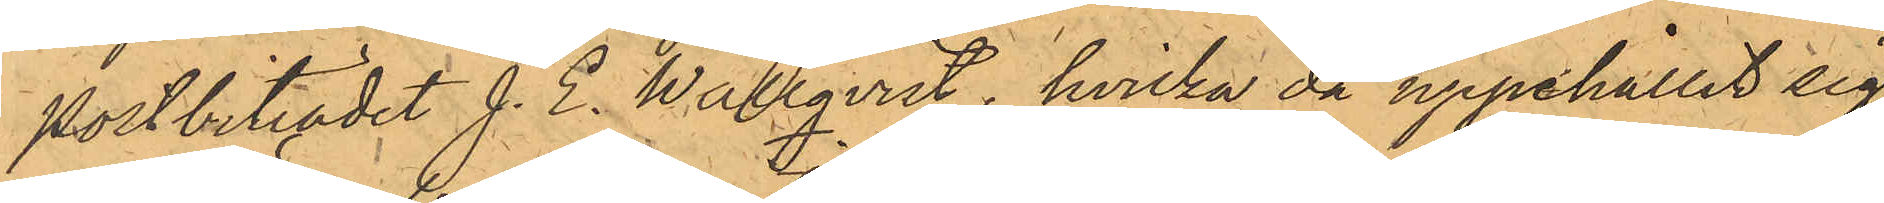postbiträdet J. E. Wallqvist, hvilka då uppehållit sig
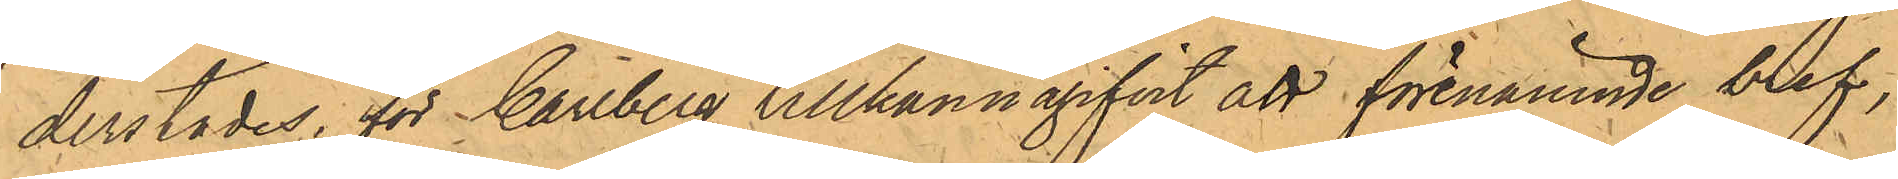derstädes, för Carlberg tillkännagifvit att förenämnde bref,
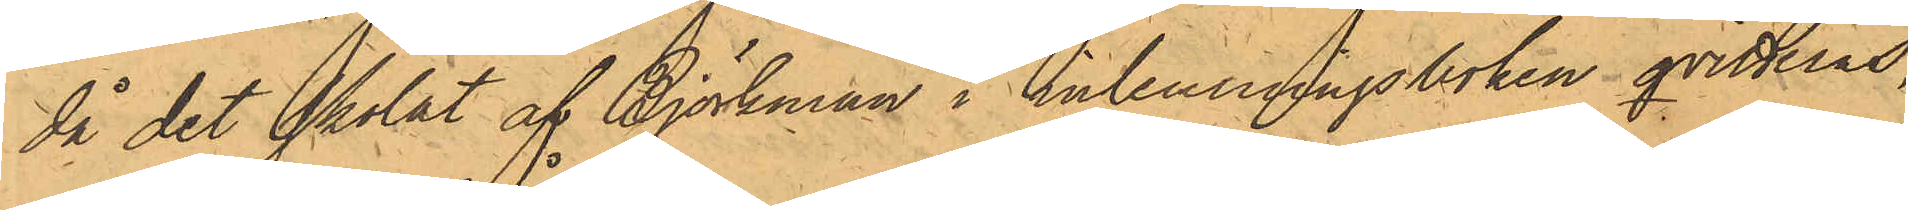då det skolat af Björkman i inlemningsboken qvitteras,
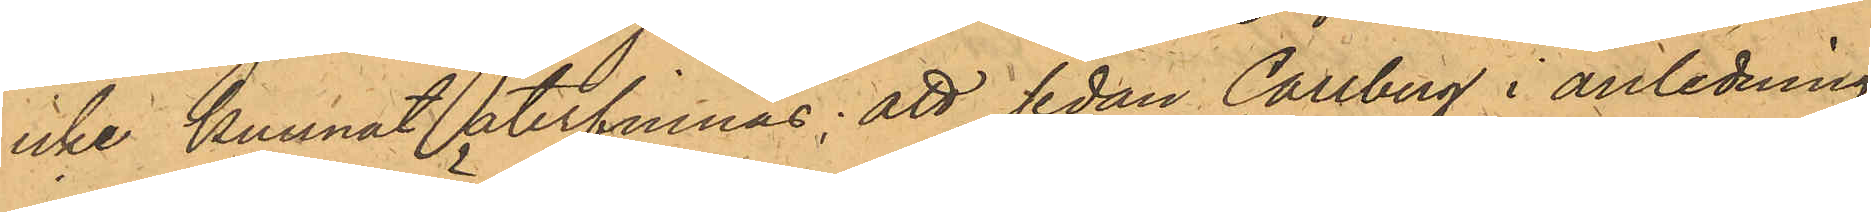icke kunnat återfinnas; att, sedan Carlberg i anledning
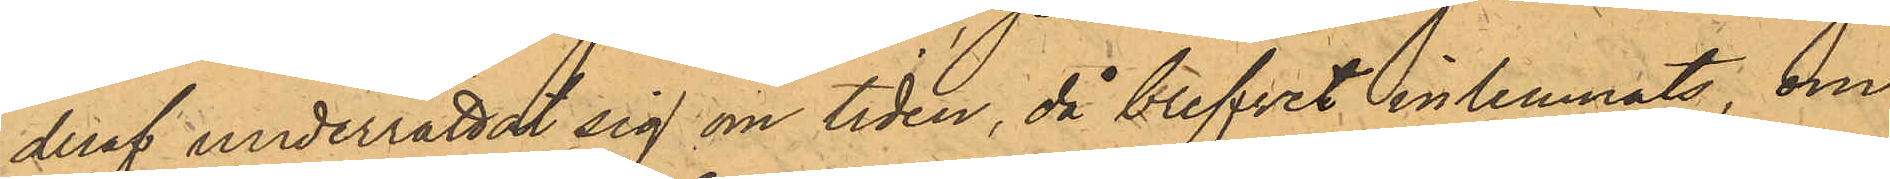deraf underrättat sig om tiden, då blifvit inlemnats, om
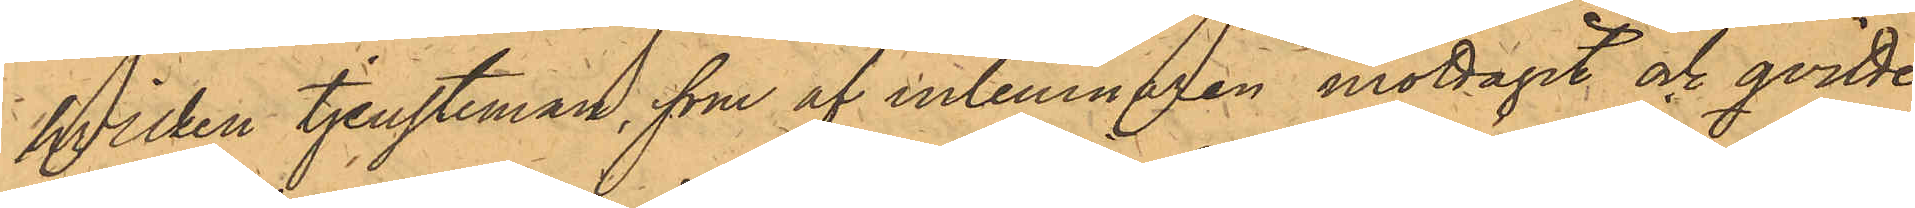hvilken tjensteman, som af inlemnaren mottagit och qvitte¬
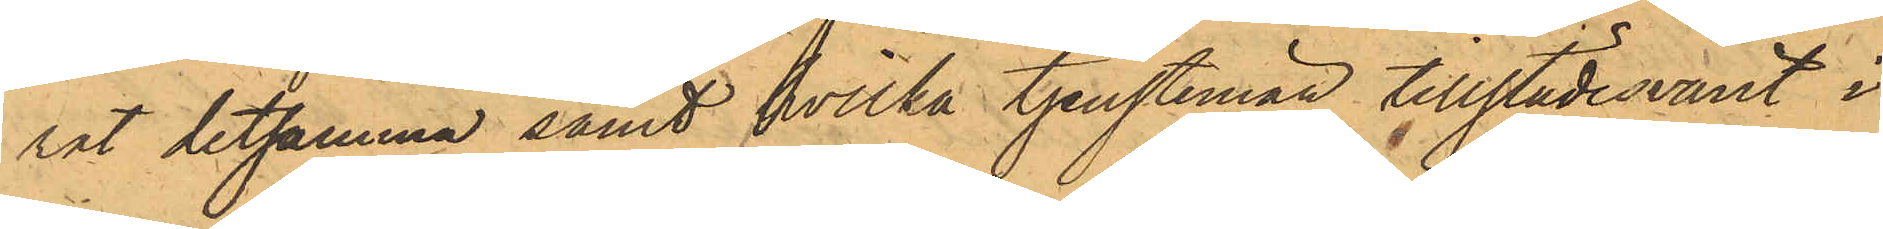rat detsamma samt hvilka tjenstemän tillstädesvarit i
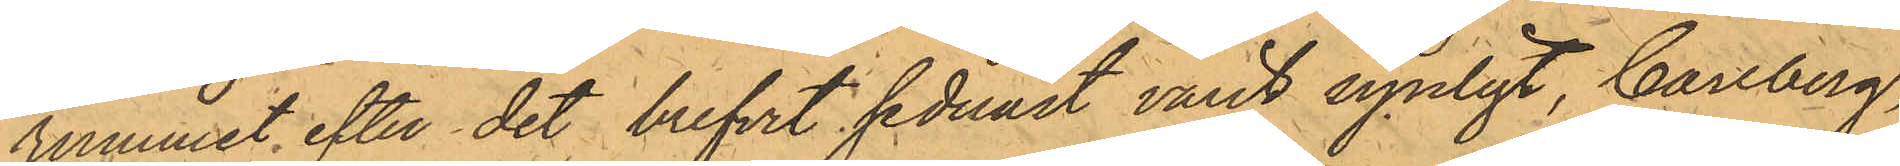rummet efter det brefvet sednast varit synligt, Carlberg,
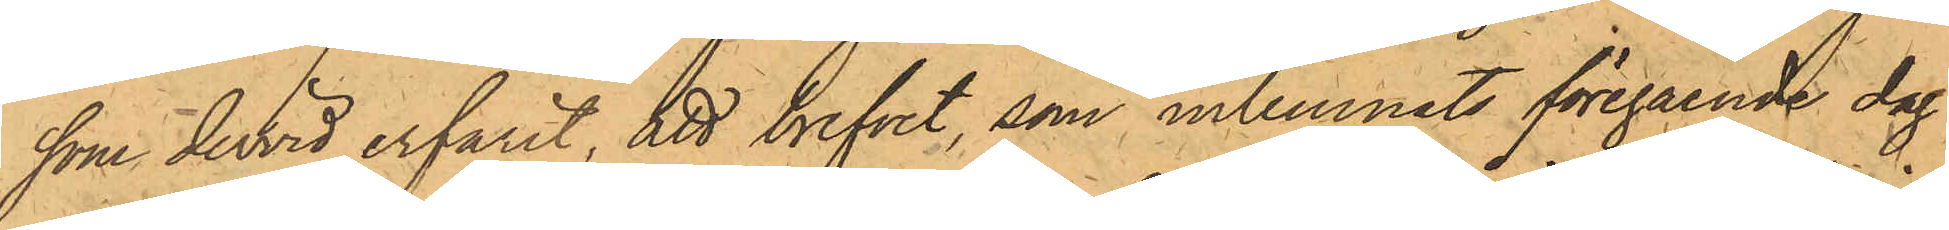som dervid erfarit, att brefvet, som inlemnats föregående dag
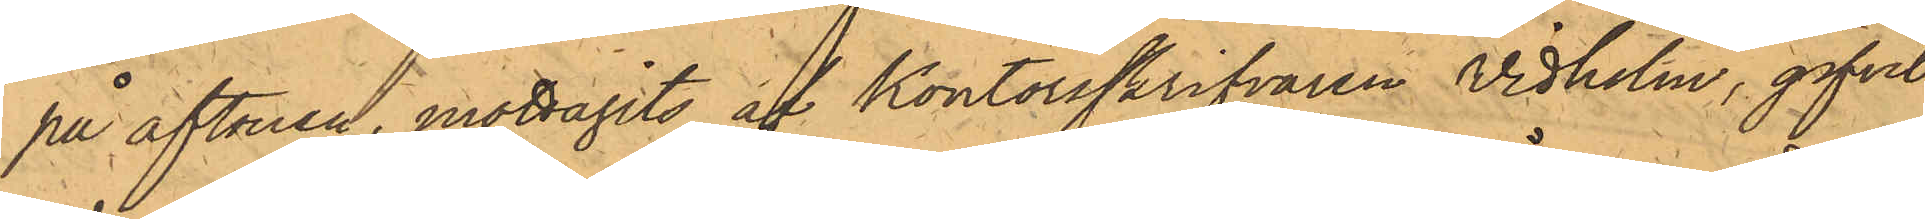på aftonen, mottagits af kontorsskrifvaren Vidholm, gifvit
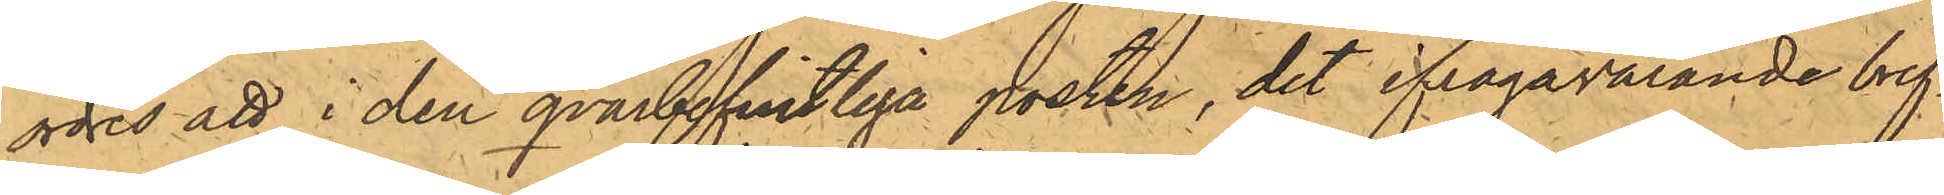ordres att i den qvarbefintliga posten, det ifrågavarande bref¬
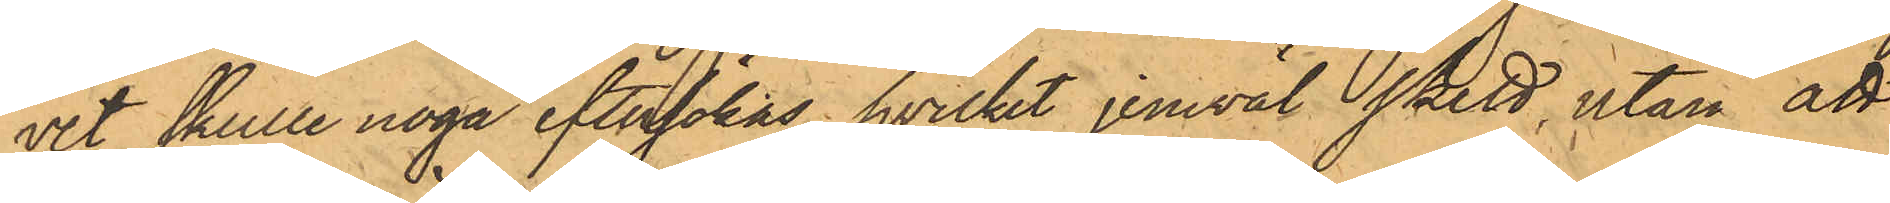vet skulle noga eftersökas, hvilket jemväl skett, utan att
